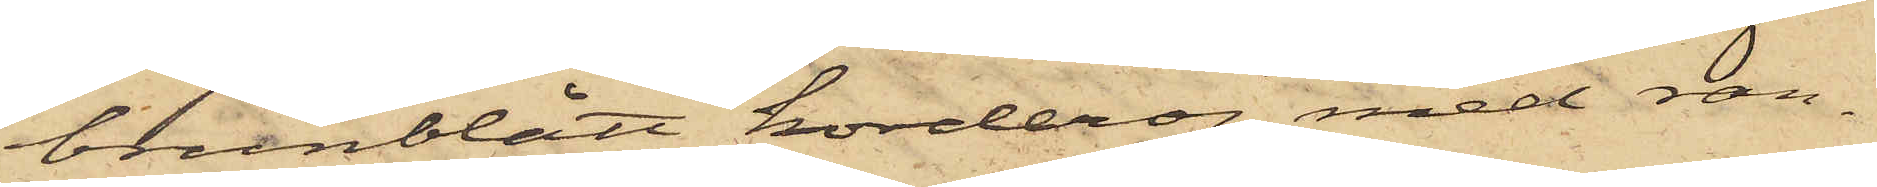brunblått korderoj med ran¬
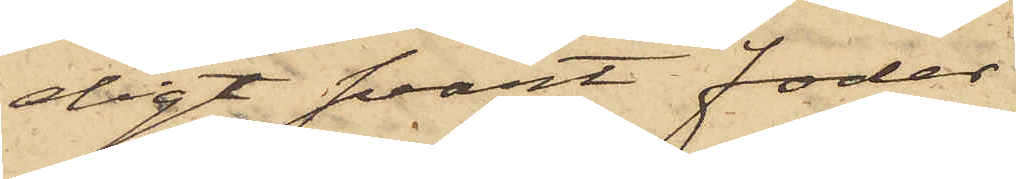digt svart foder.
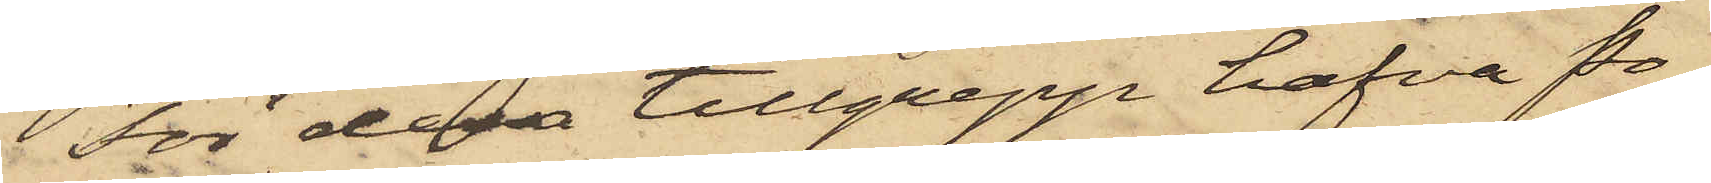För dessa tillgrepp hafva Po¬
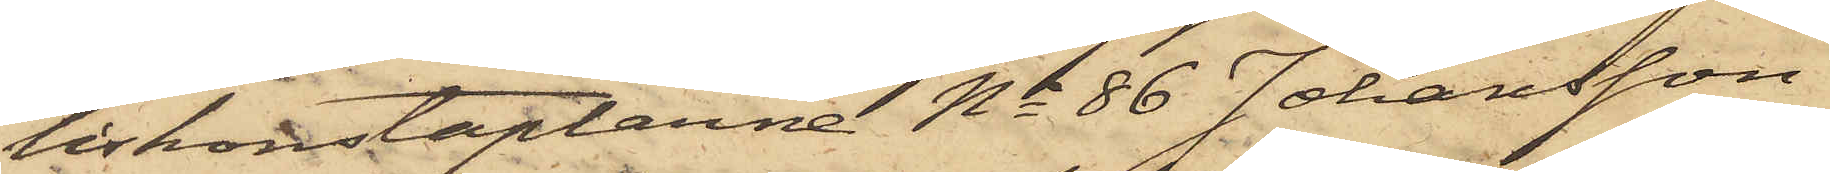liskonstaplarne No 86 Johansson
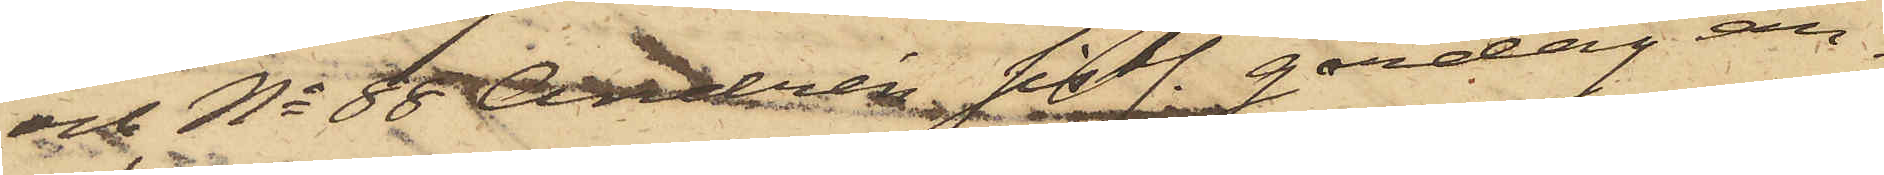och No 88 Andrén sistl. gårdag an¬
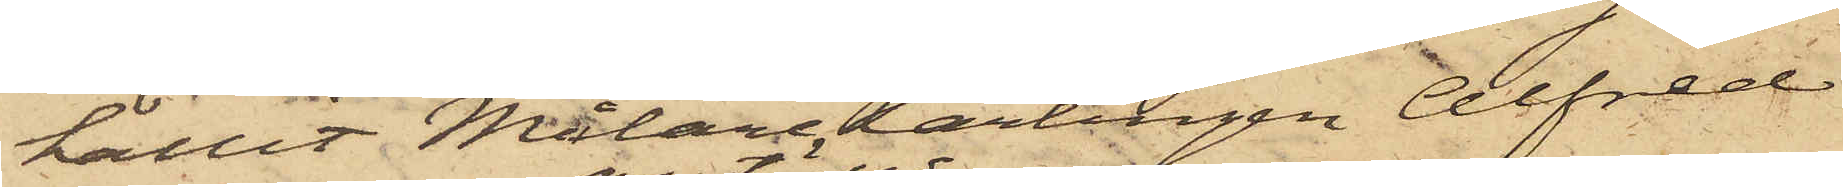hållit Målarelärlingen Alfred
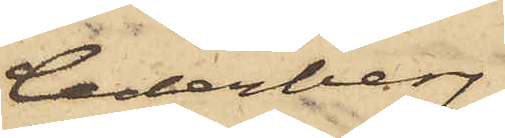Cederberg
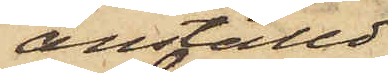anställd
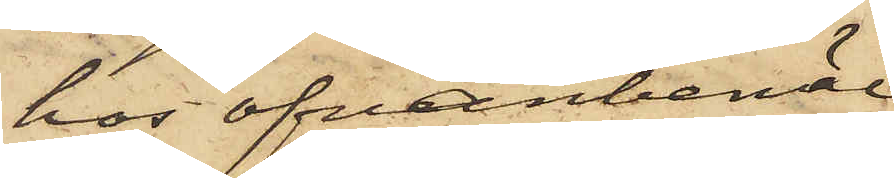hos ofvanbemäl¬
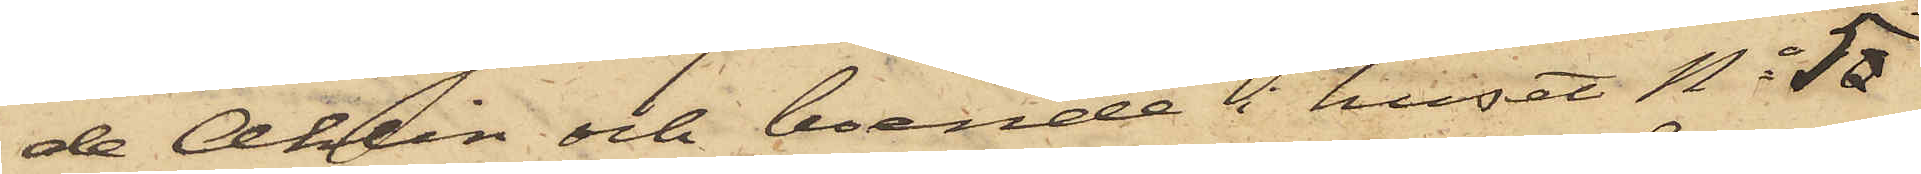de Ahlin och boende i huset No 50
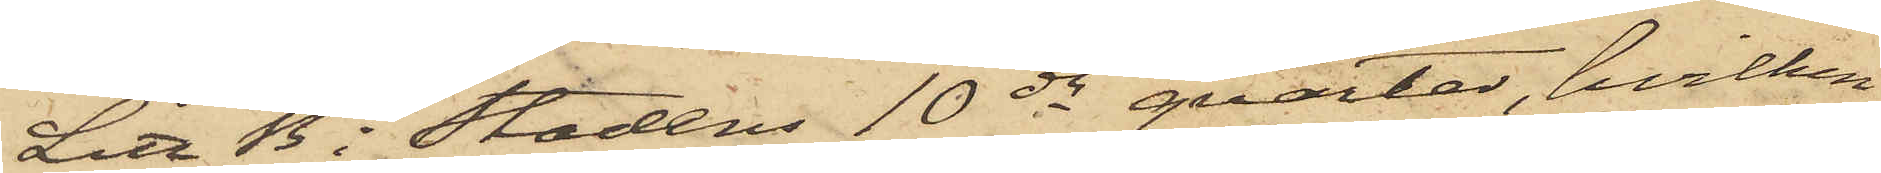Litt B i Stadens 10de qvarter, hvilken
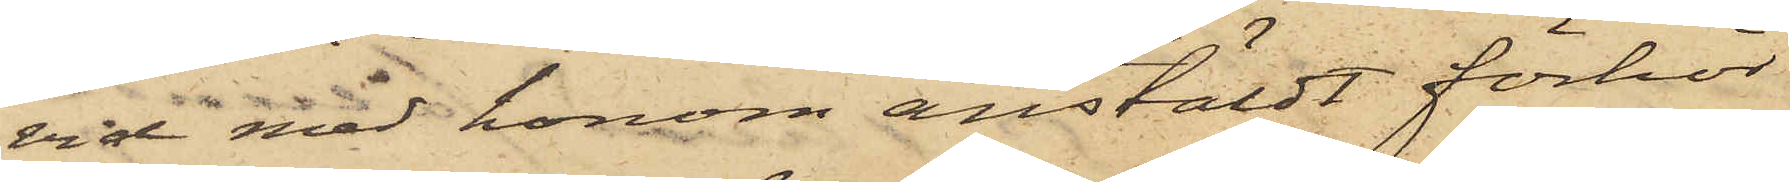vid med honom anstäldt förhör
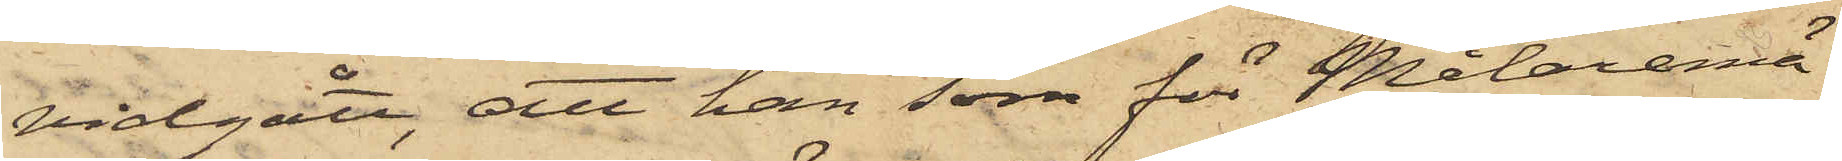vidgått, att han som för Målaremä¬
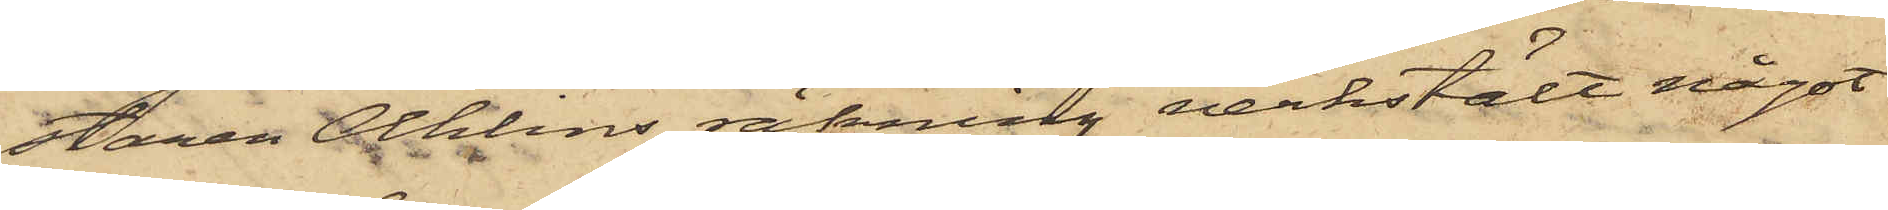staren Alhlins räkning verkstält något
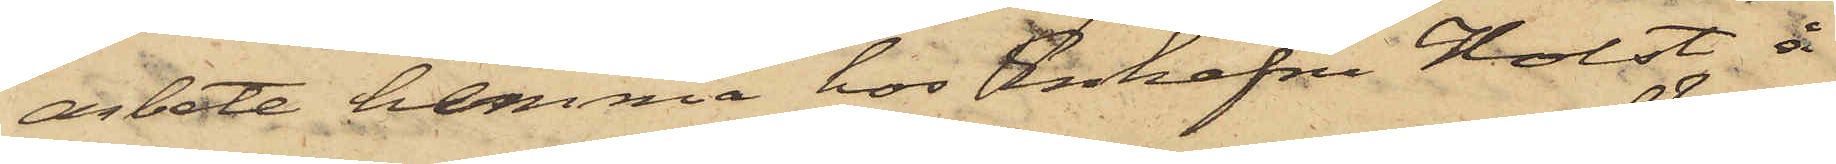arbete hemma hos Enkefru Holst å
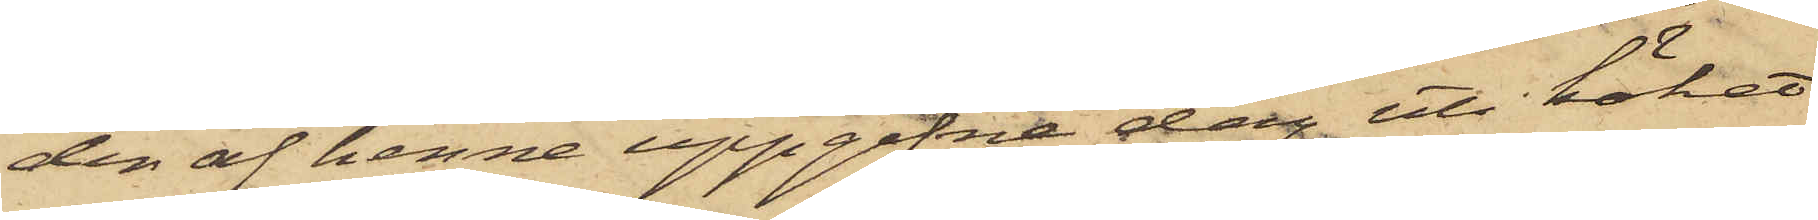den af henne uppgifne dag uti köket
